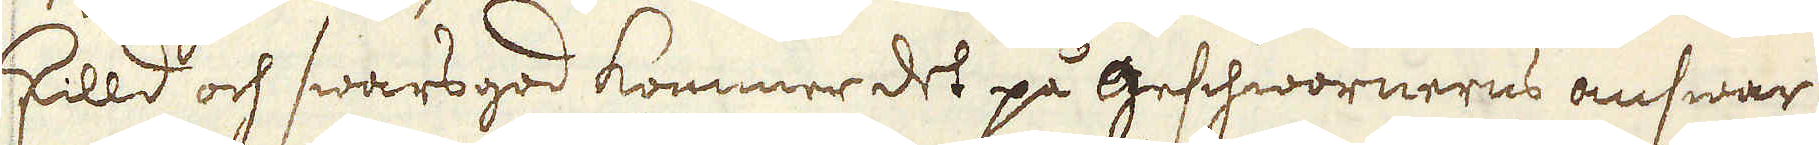skilld och swarsgod kommer det på Geschwornerns answar,
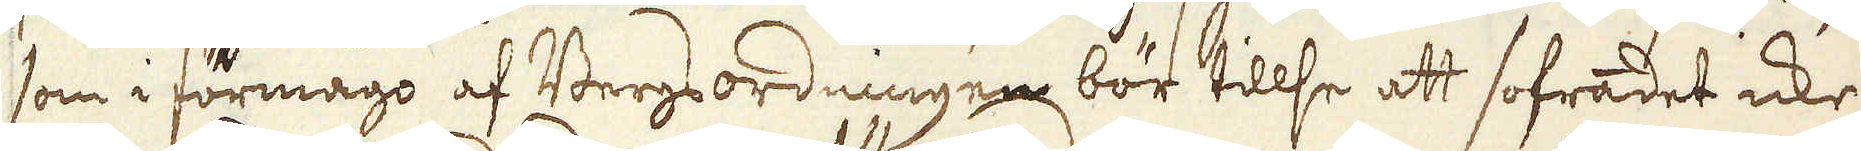som i förmågo af Bergs ordningen bör tillse att sofradet icke
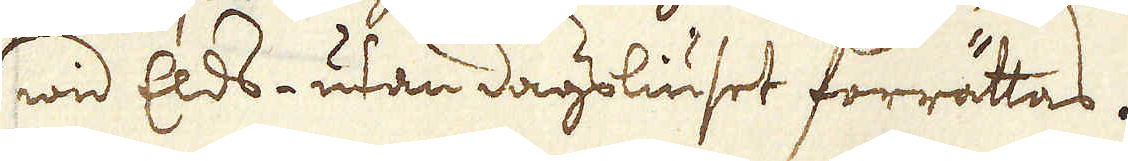wid Elds- utan dagsliuset förrättas.
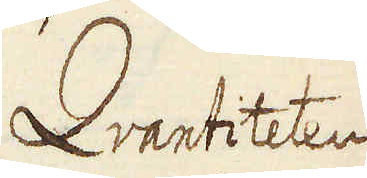Qvantiteten
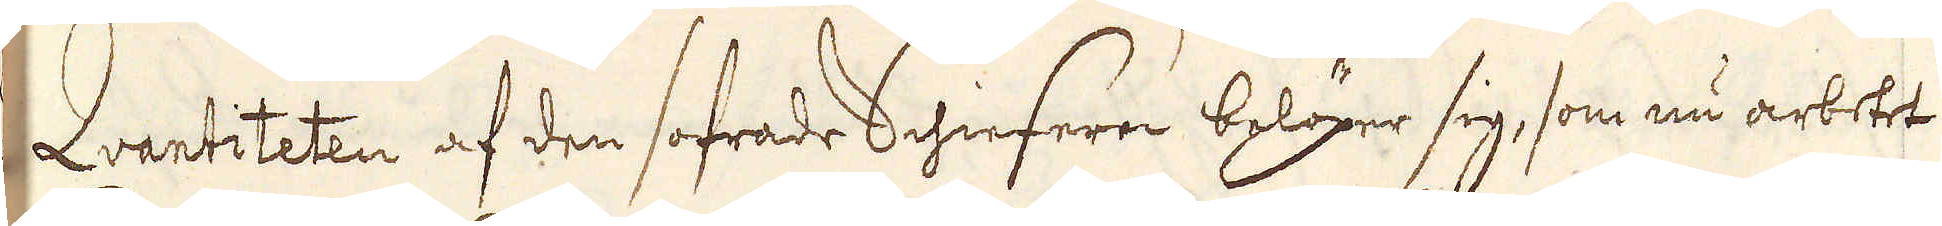Qvantiteten af den sofrade Schieferen belöper sig, som nu arbetet
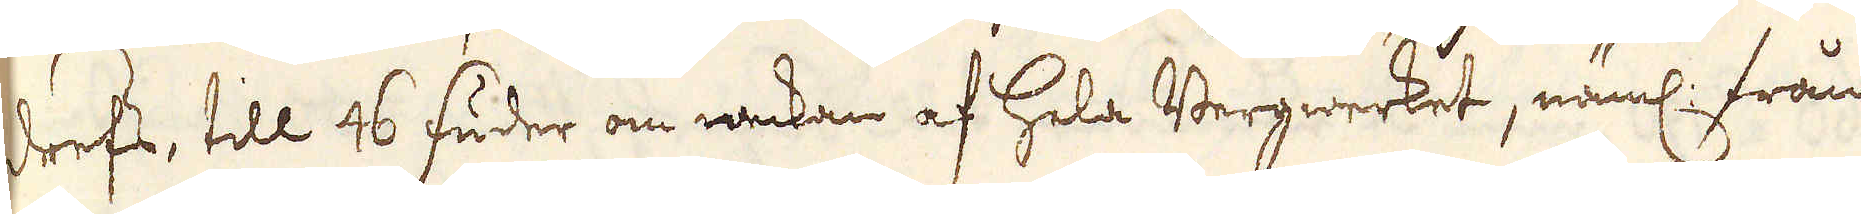drefs, till 46 fuder om weckan af hela Bergwerket, näml: från
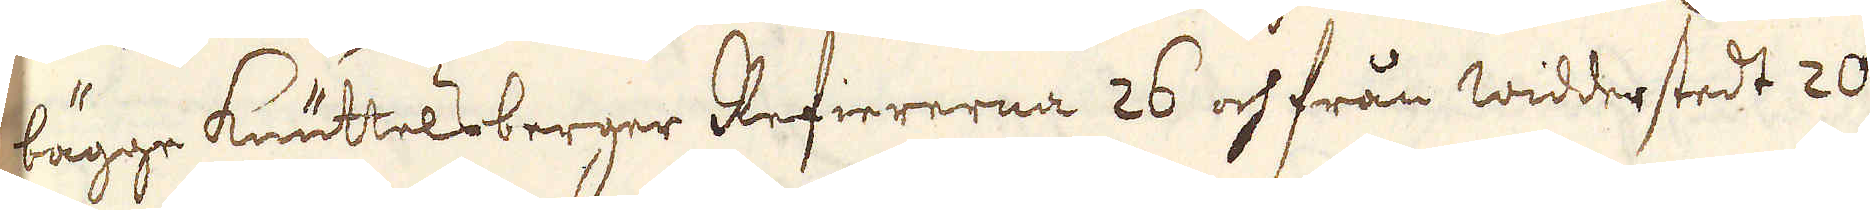bägge Knuttelsberger Refiererna 26 och från Widderstedt 20
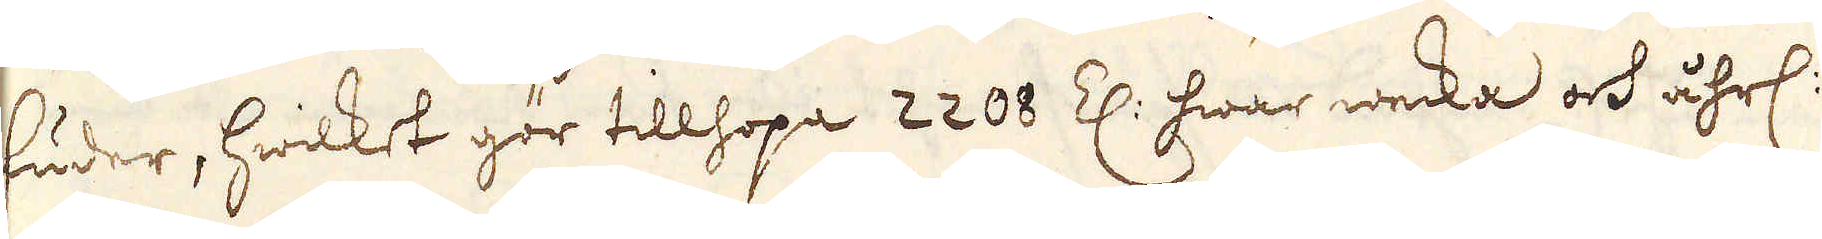fuder, hwilket gör tillhopa 2208 Z: hwar wecka och åhrl:
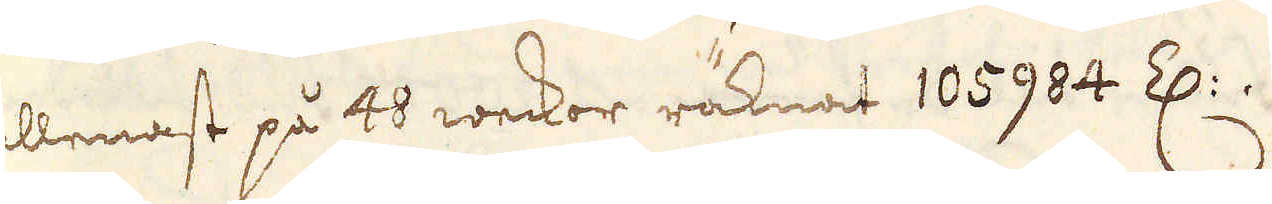allenast på 48 weckor räknat 105984 Z:.
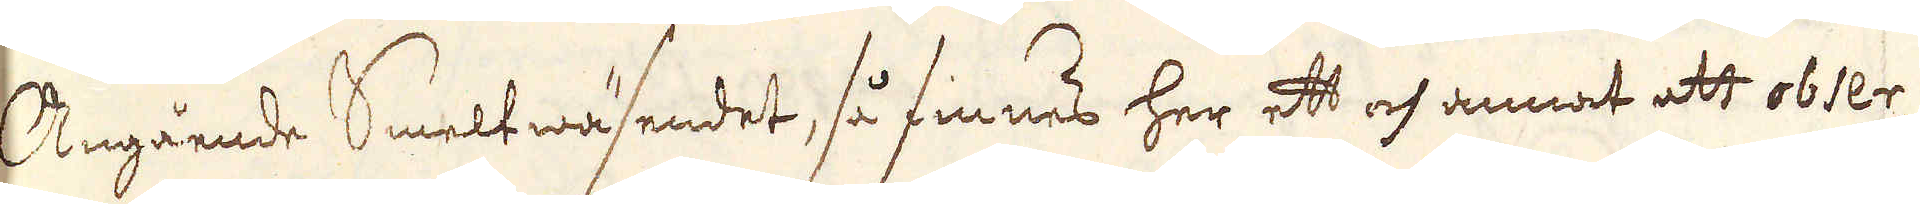Angående Smeltwäsendet, så finnes her ett och annat att obser-
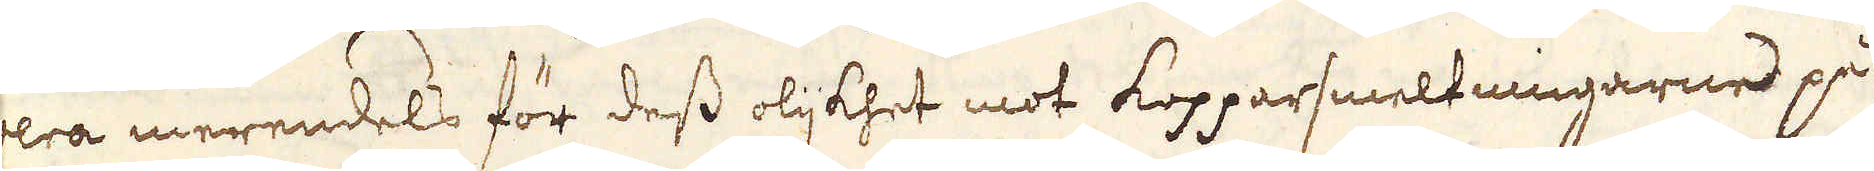vera merendels för dess olijkhet mot kopparsmeltningarne på
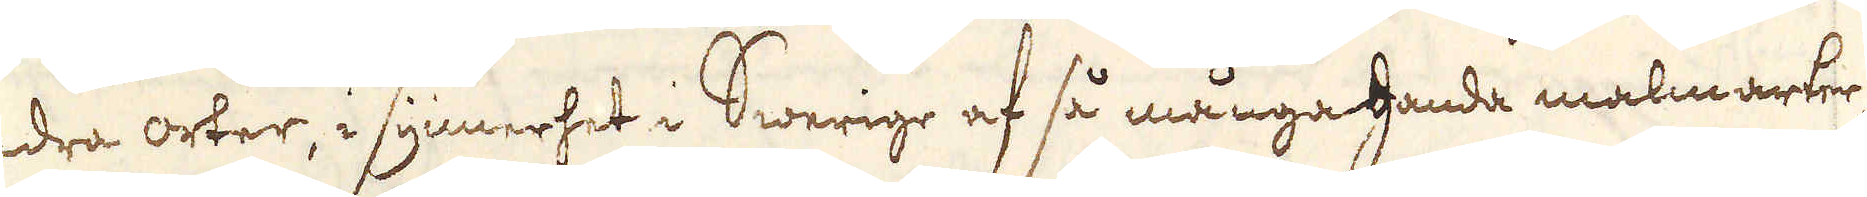andra orter, i synnerhet i Swerige af så mångahanda malmarter,
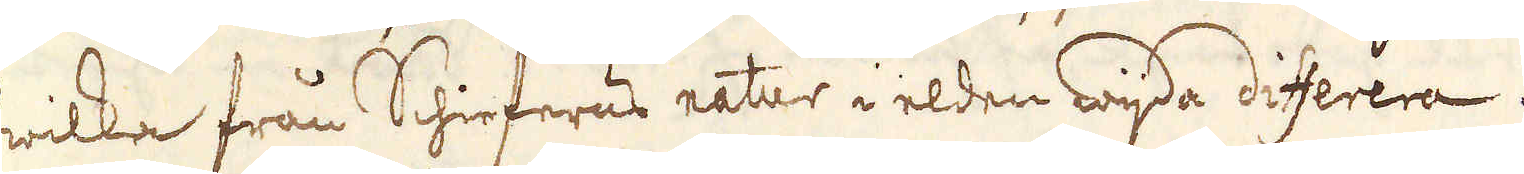hwilka från Schieferns natur i elden wijda differera.
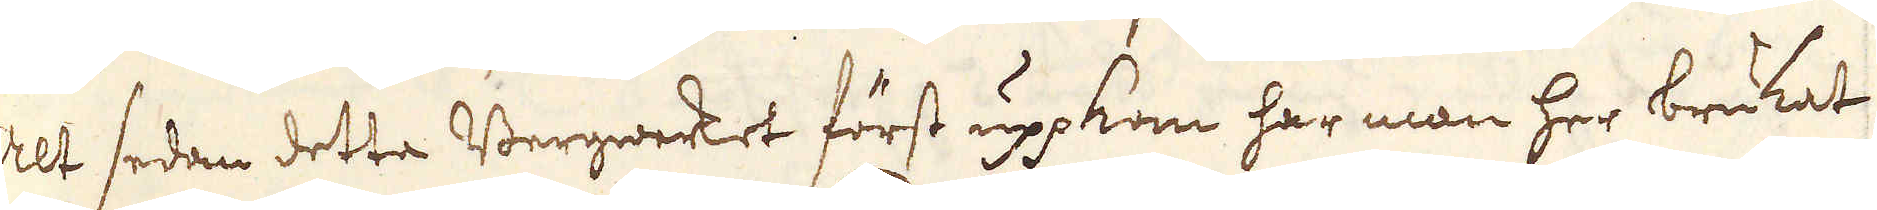Allt sedan detta Bergwerket först uppkom har man her brukat
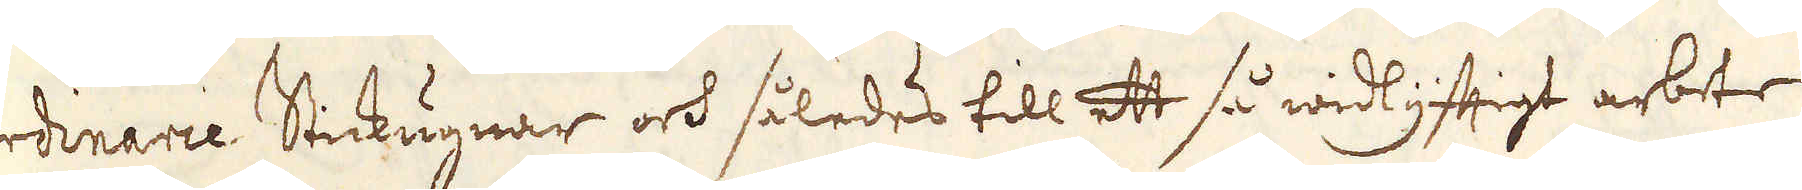ordinarie Stickugnar och således till ett så widlyfftigt arbete
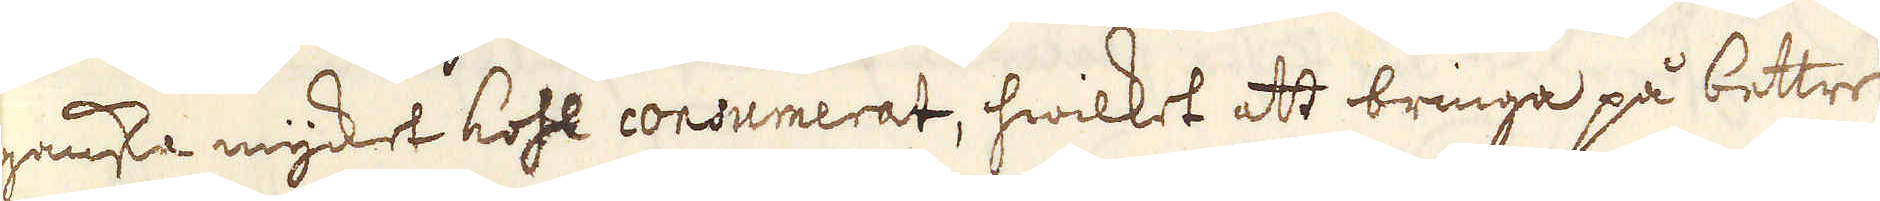ganska mycket kohl consumerat, hwilket att bringa på bettre
